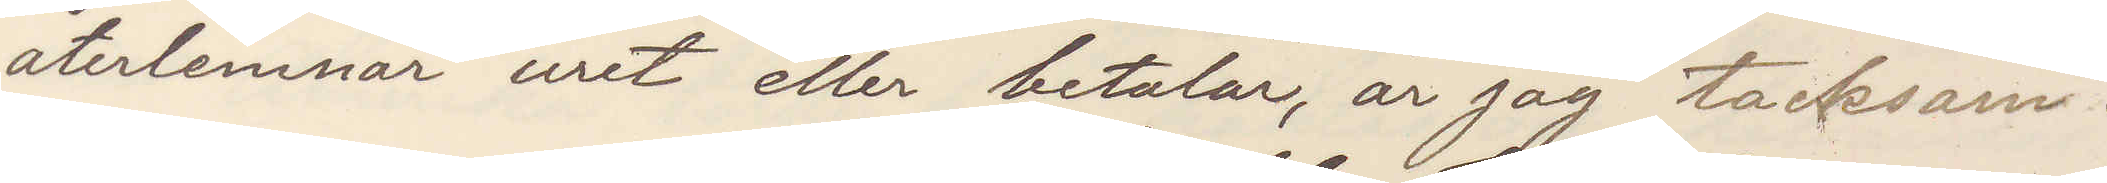återlemnar uret eller betalar, är jag tacksam.
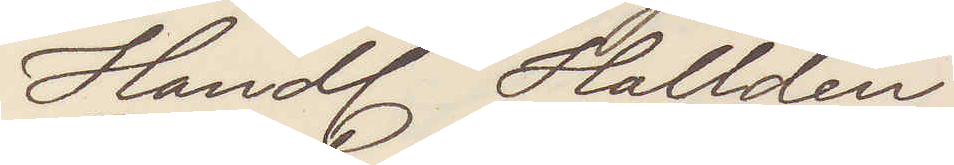Handl Hallden
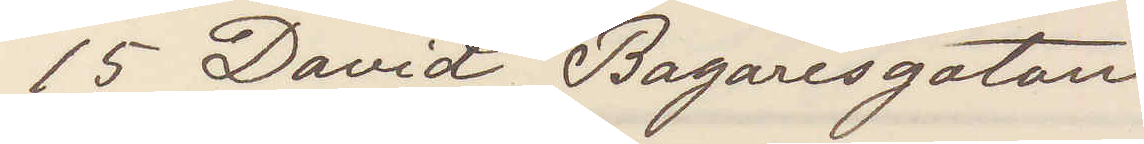15 David Bagaresgatan
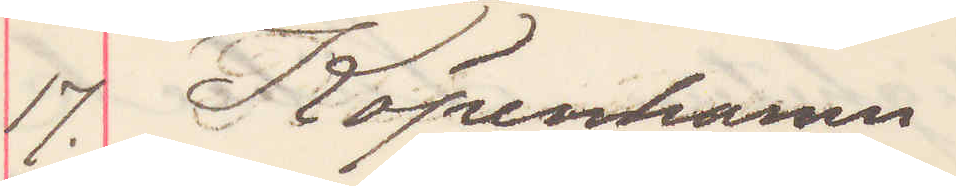17 Köpenhamn
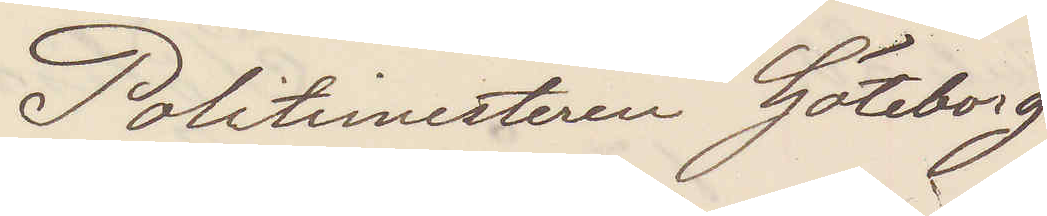Politimesteren Göteborg
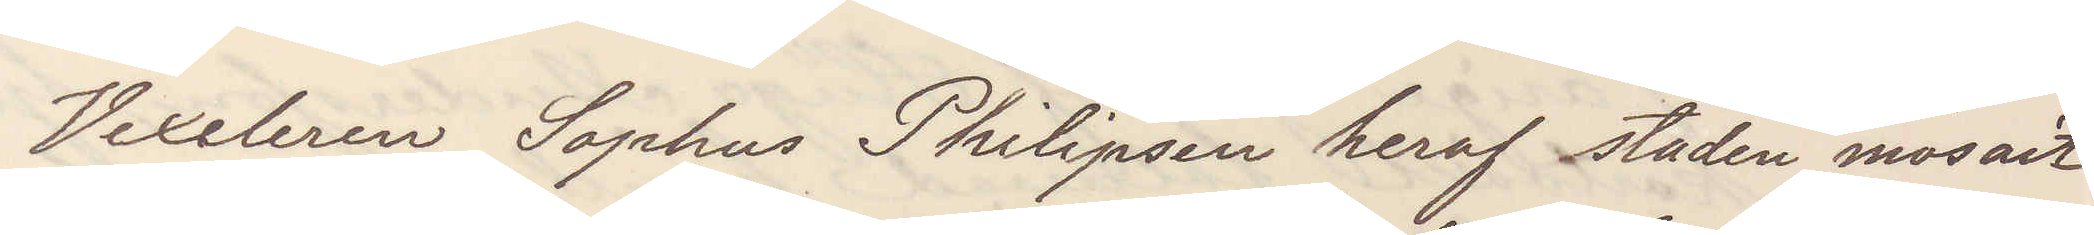Vexeleren Sophus Philipsen heraf staden mosait
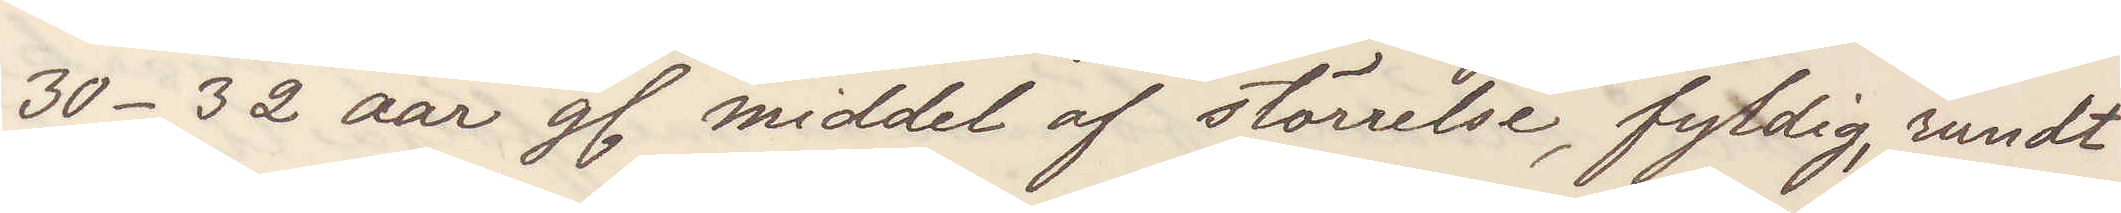30-32 aar g. middel af störrelse, fyldig rundt
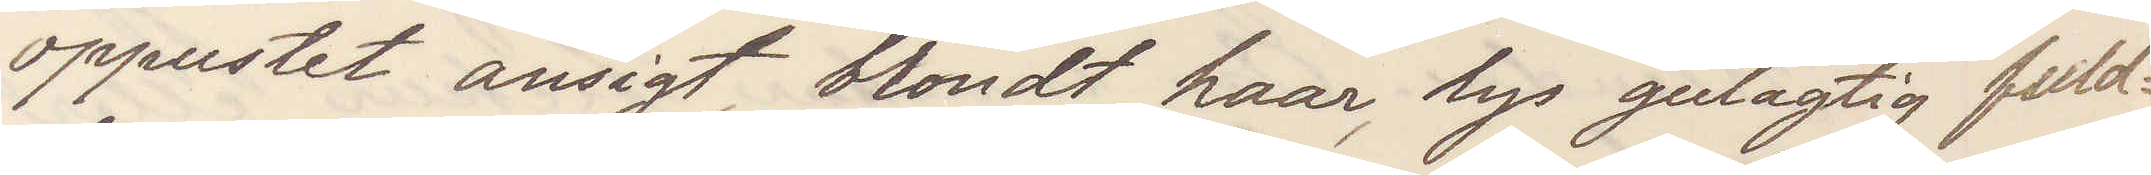opprustet ansigt, blondt haar, lys gulagtig fuld¬
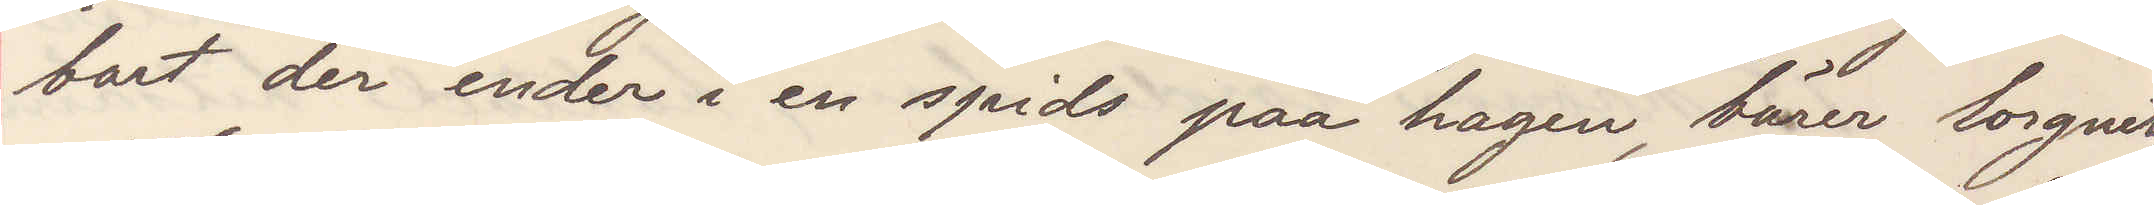bart der ender i en sprids paa hagen, bärer lorgnet,
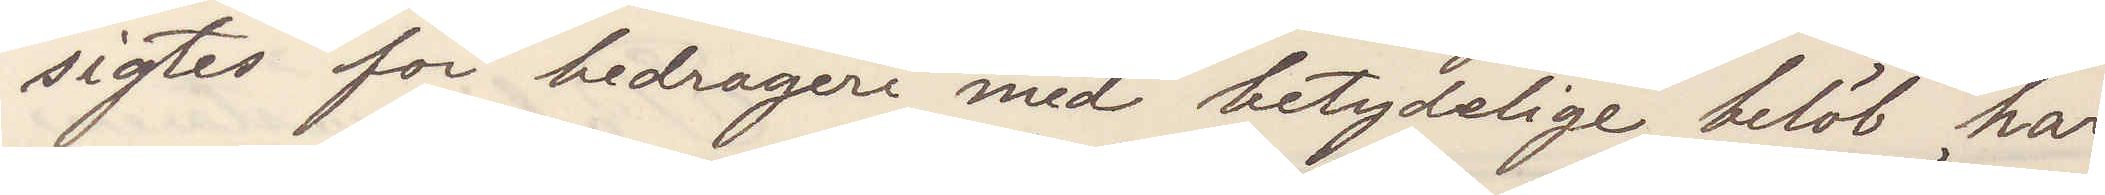sigtes for bedrageri med betydelige belöb har
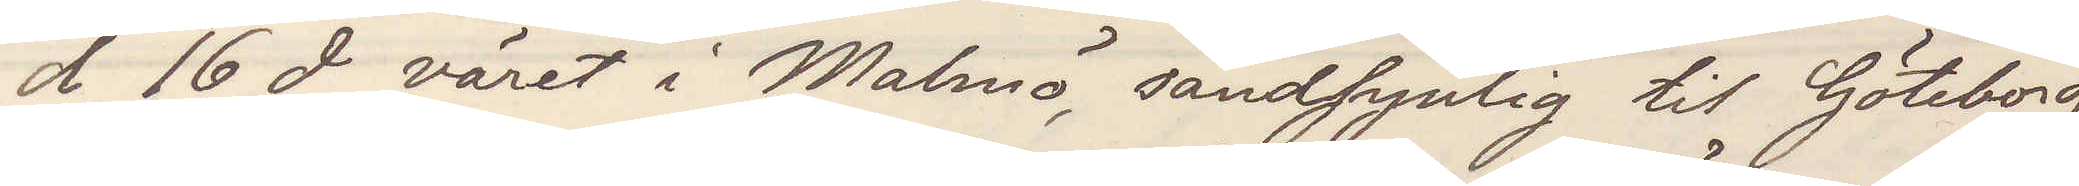d 16 d väret i Malmö, sandsynlig til Göteborg
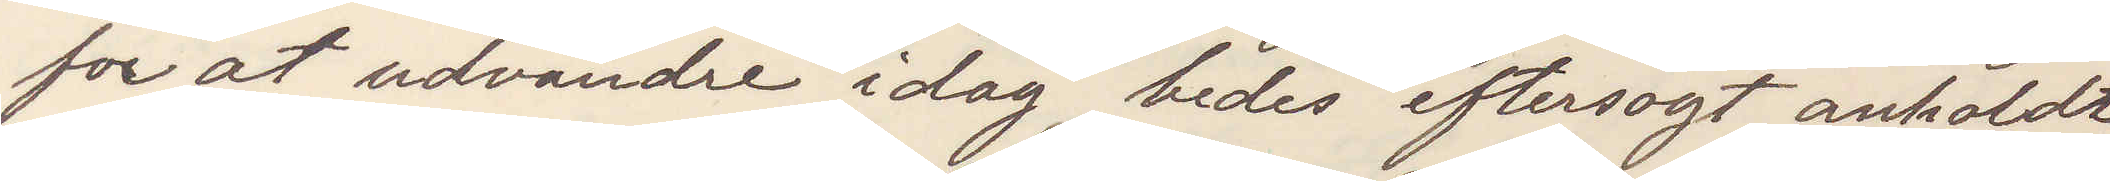for at udvandre idag, bedes eftersögt, anholdt
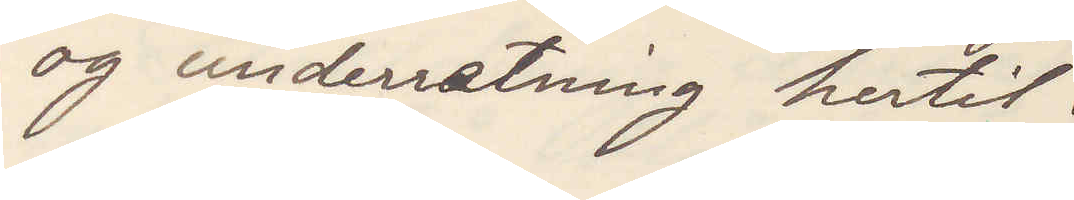og underretning hertil.
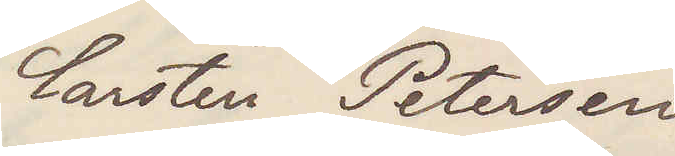Carsten Petersen
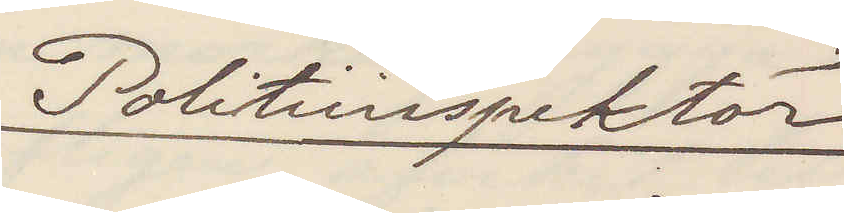Politiinspektör
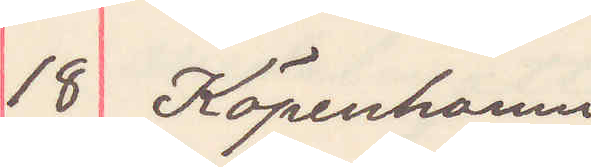18 Köpenhamn
